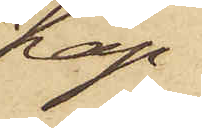Kap¬
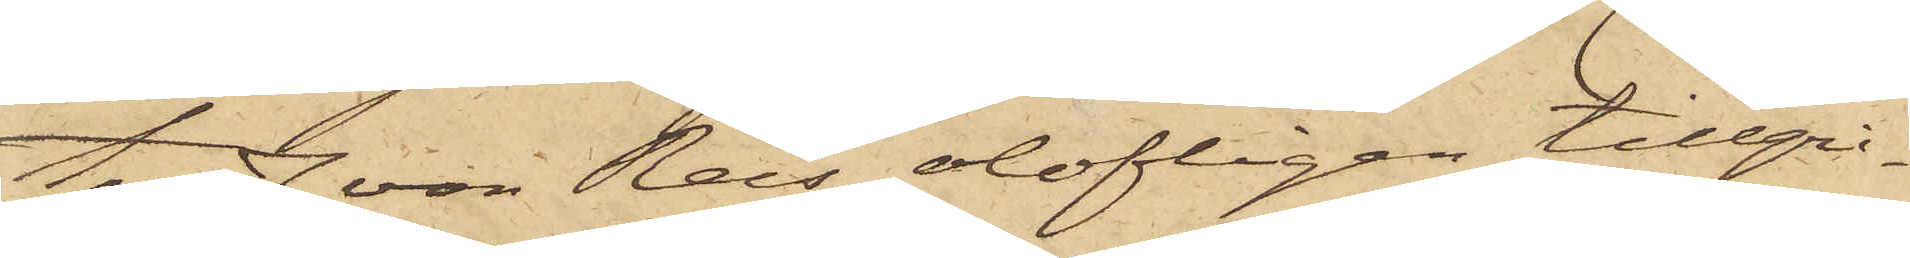ten J. von Reis olofligen tillgri¬
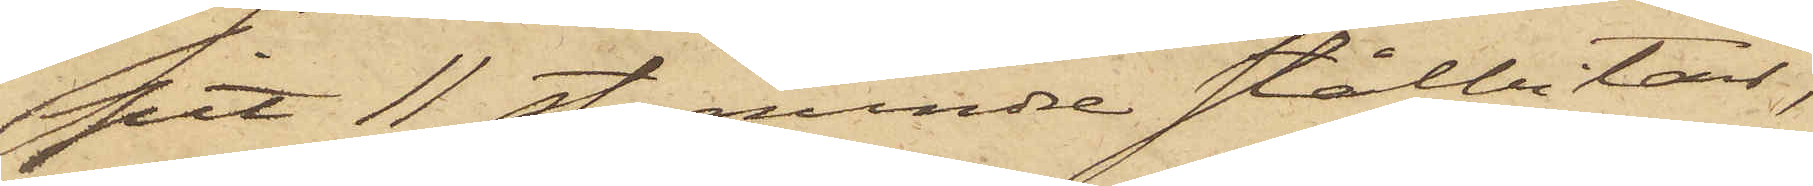pit 11 st. mindre stålbitar,
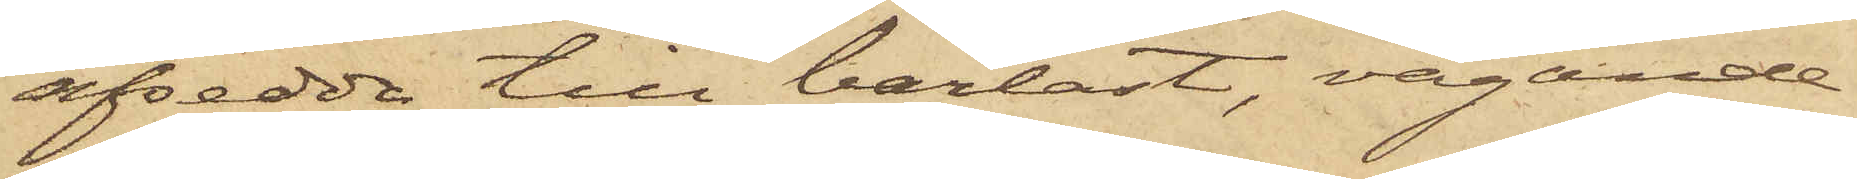afsedda till barlast, vägande
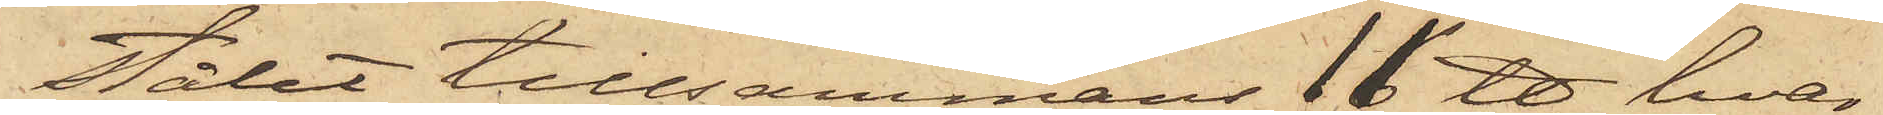stålet tillsammans 11 ℔, hvar¬
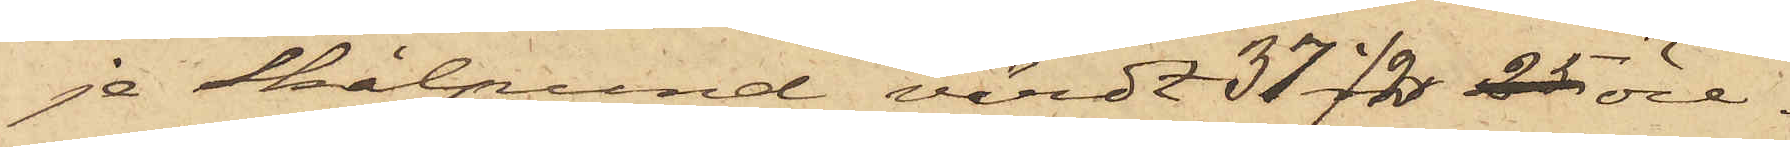je Skålpund värdt 37 1/2 öre.
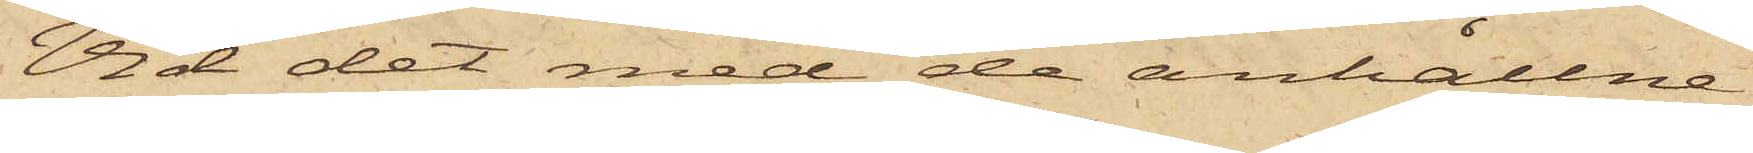Vid det med de anhållne
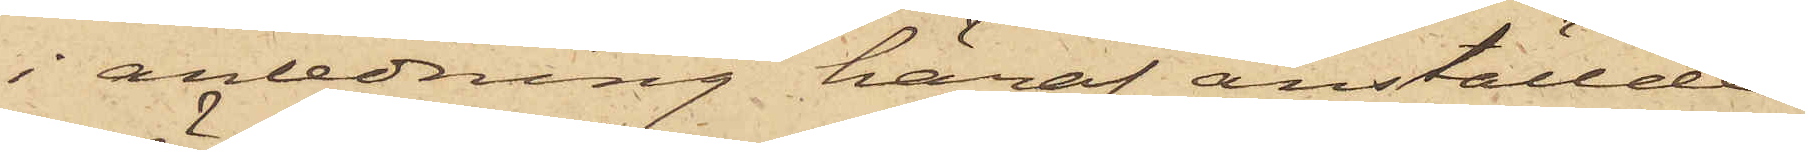i anledning häraf anställde
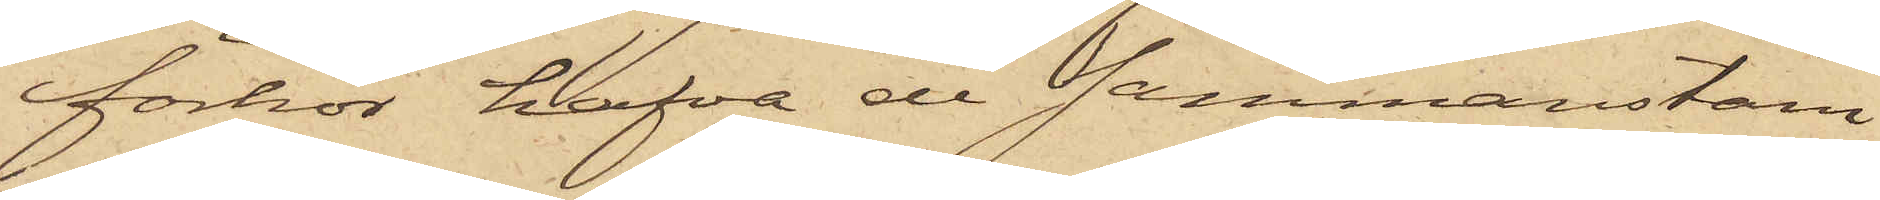förhör hafva de sammanstäm¬
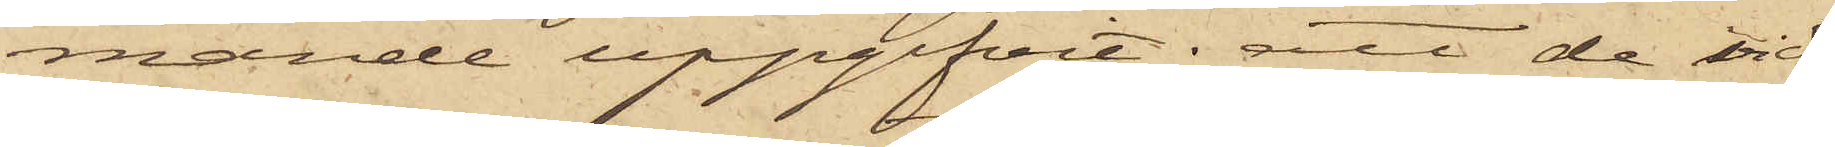mande uppgifvit: att de vid
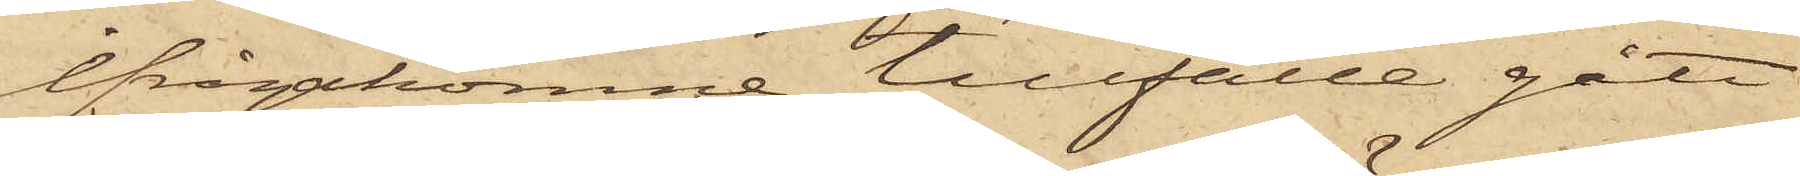ifrågakomne tillfälle gått
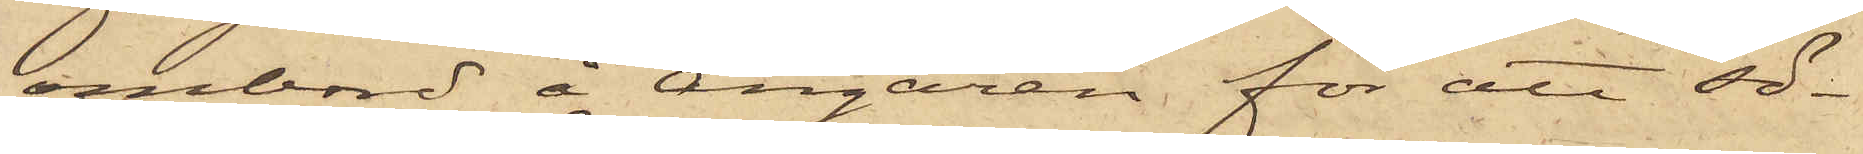ombord å Ångaren för att sö¬
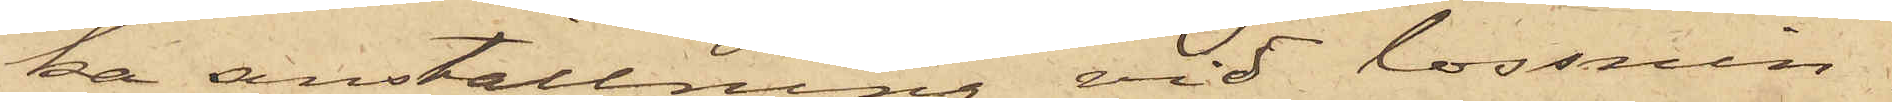ka anställning vid lossnin¬
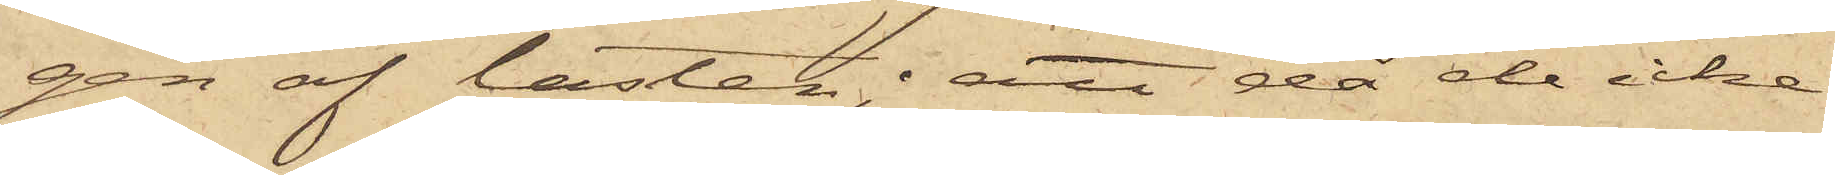gen af lasten; att då de icke
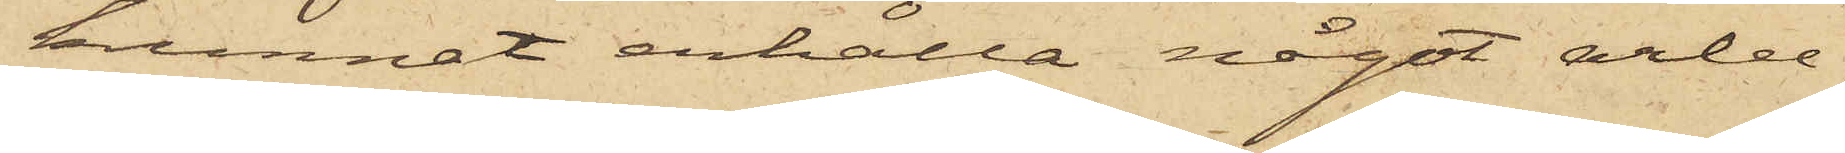kunnat erhålla något arbe¬
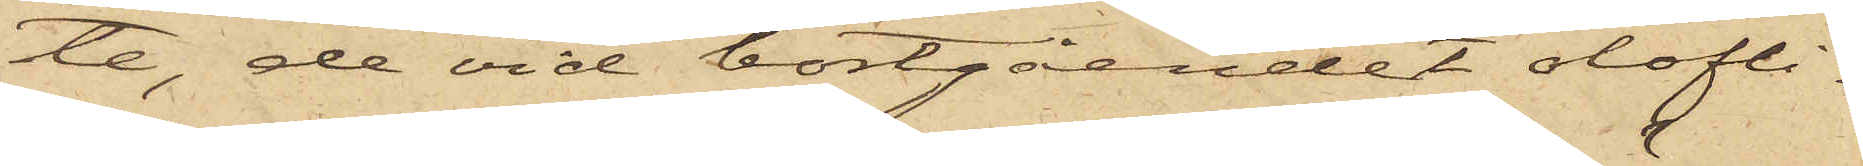te, de vid bortgåendet olofli¬
